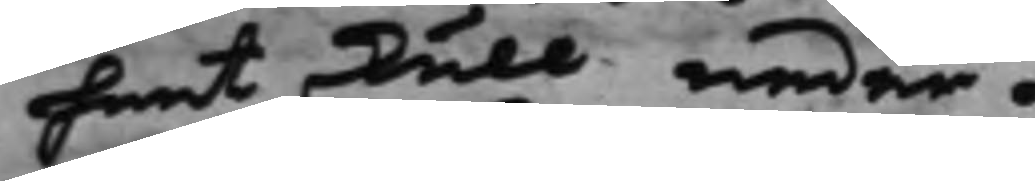heet skull neder.
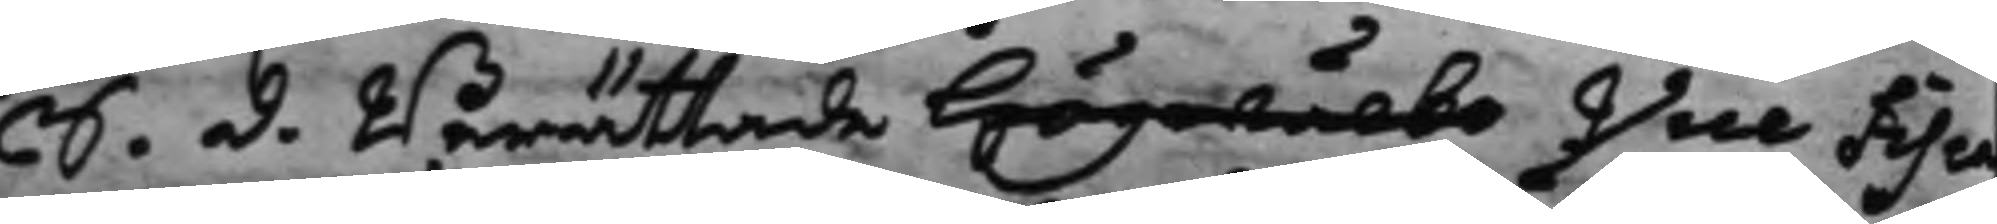S. d. Berättade Högwälbo Vice Fisca¬
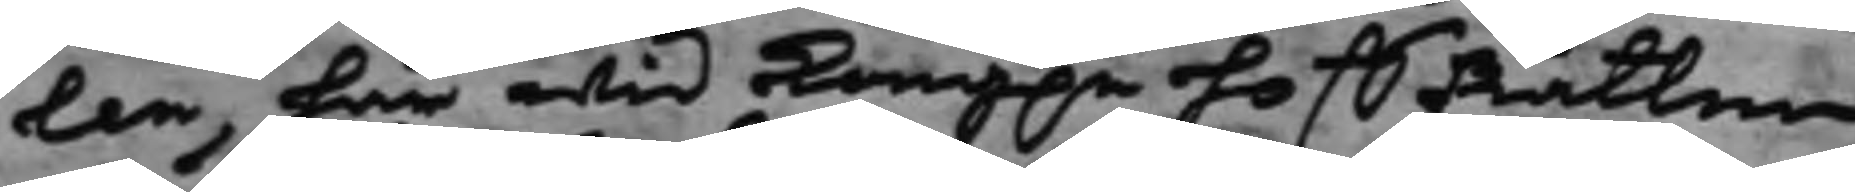len, här wid Kong.e HoffRätten
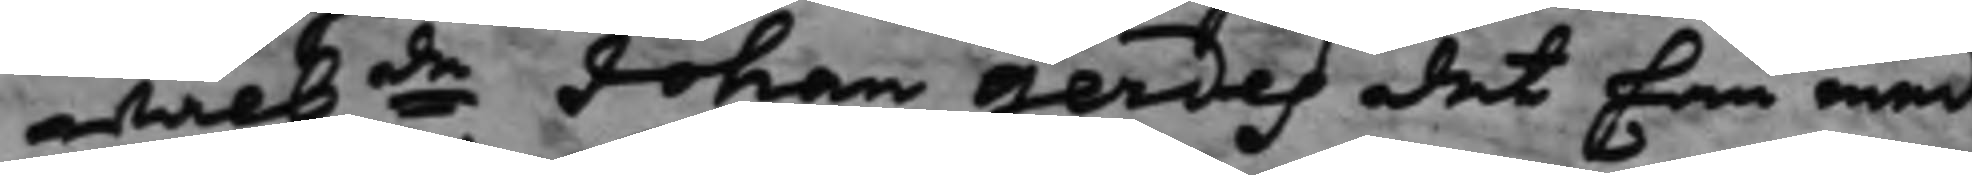Wälbde Johan Gerdes det han med
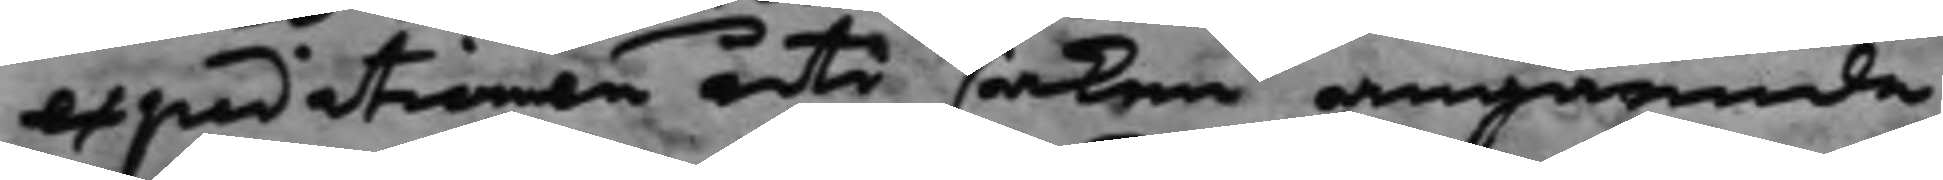expeditionen uti saken angående
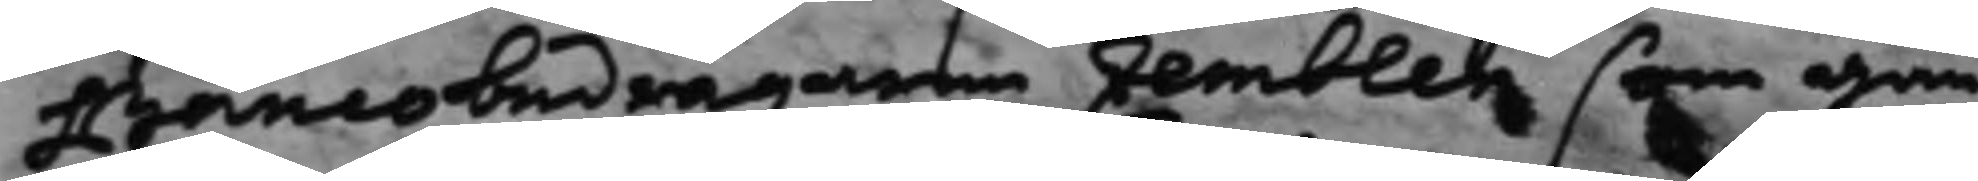Bancobedragaren Eemblen som gan¬
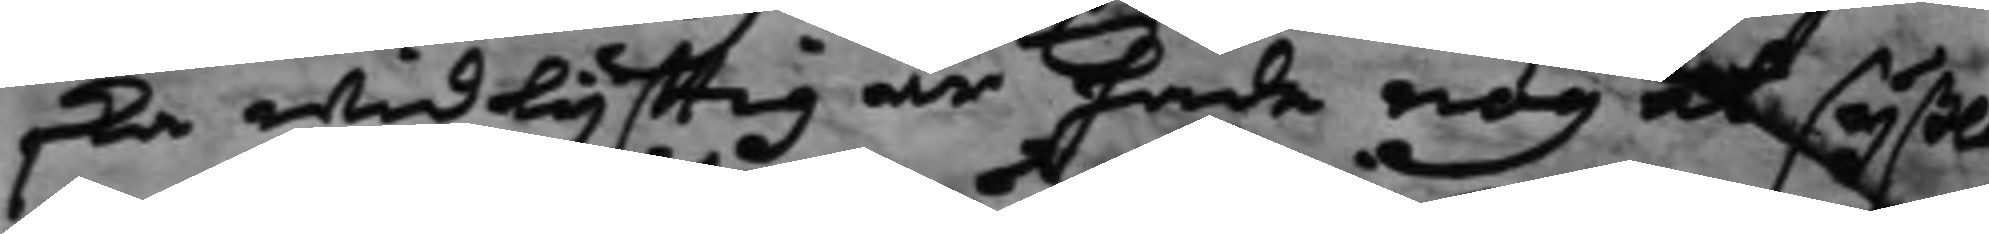ska widlyfftig är hade nog at syßla
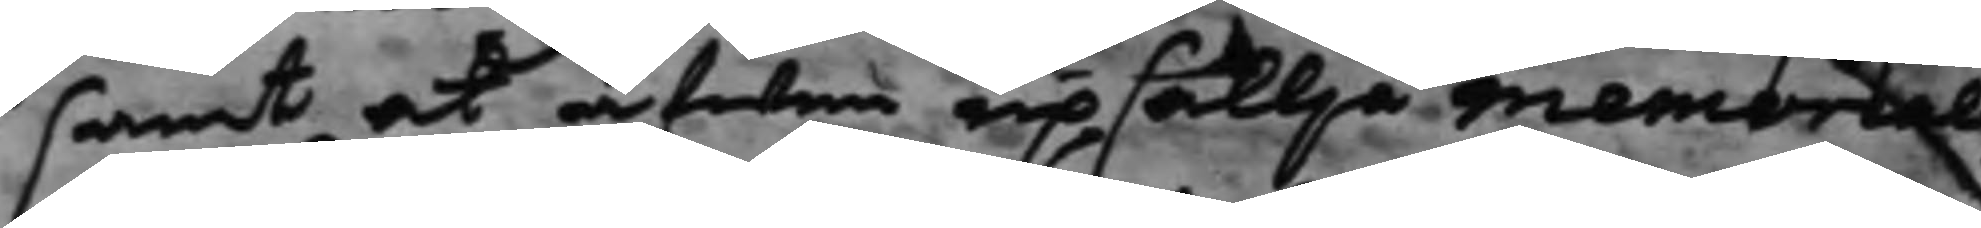samt at äfwen upsällja memorial
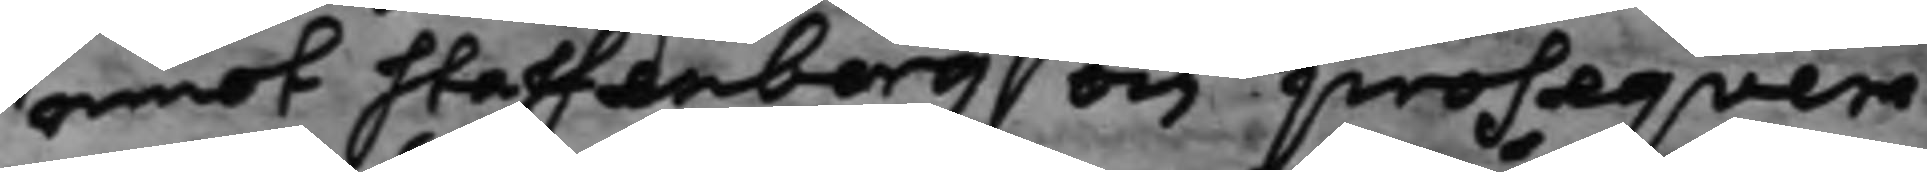emot Staffenberg och proseqvera
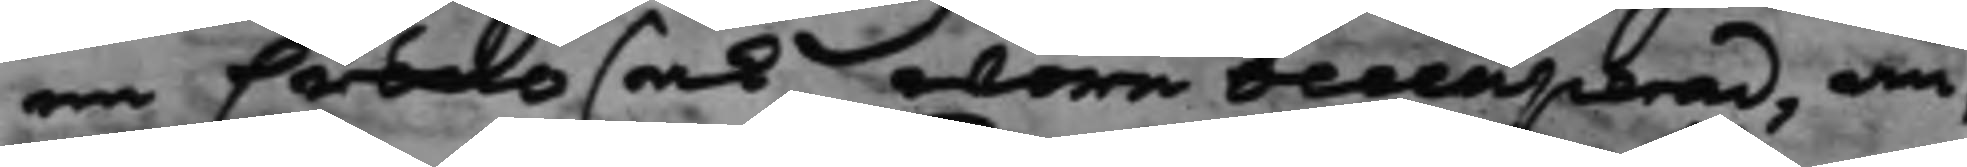en Crono sak wore ocecuperad, an¬
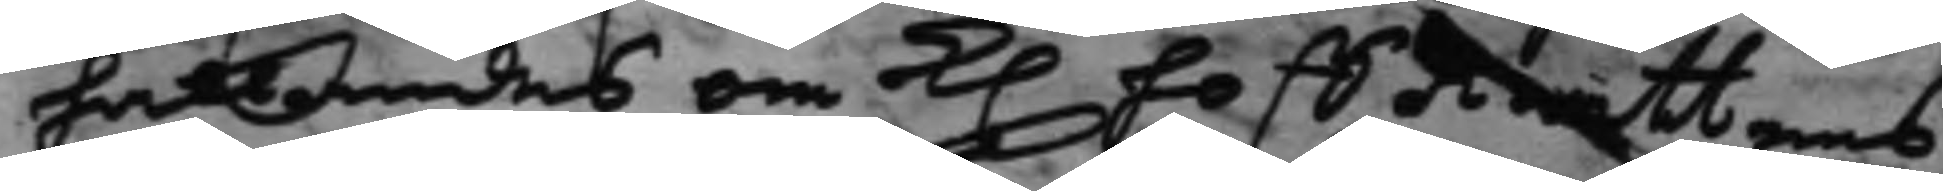hållandes om K. HoffRättens
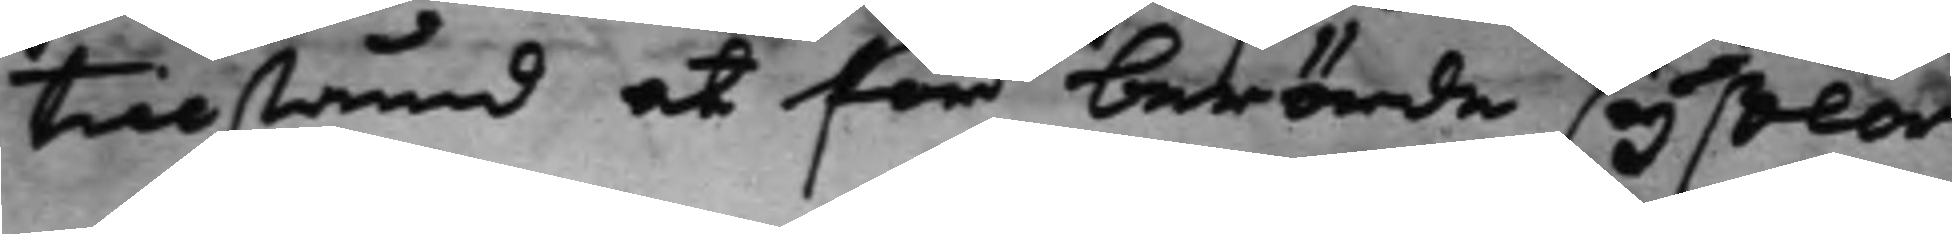tillstånd at för berörde syßlor
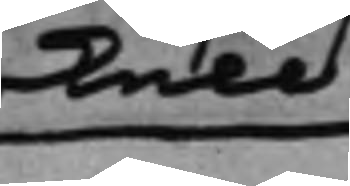skull
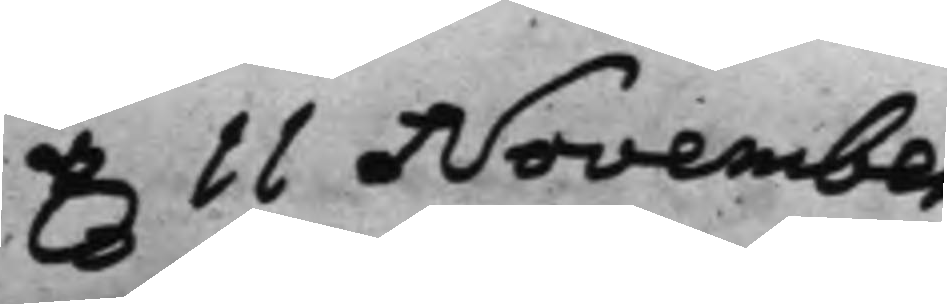d. 11 November
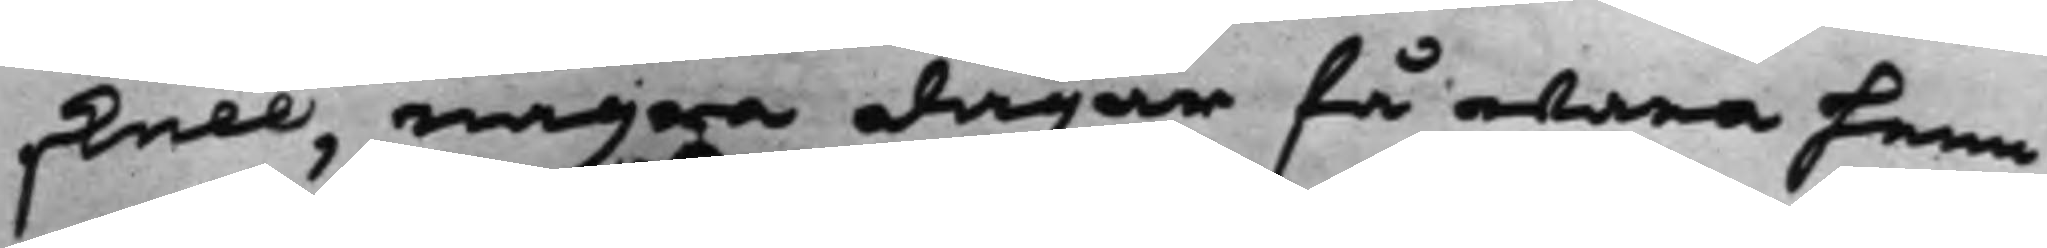skull, några dagar få wara hem¬
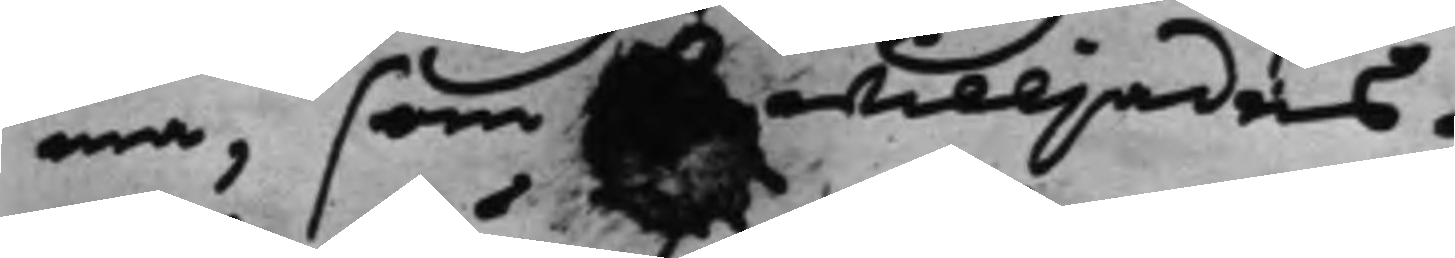ma, som bewilljades.
